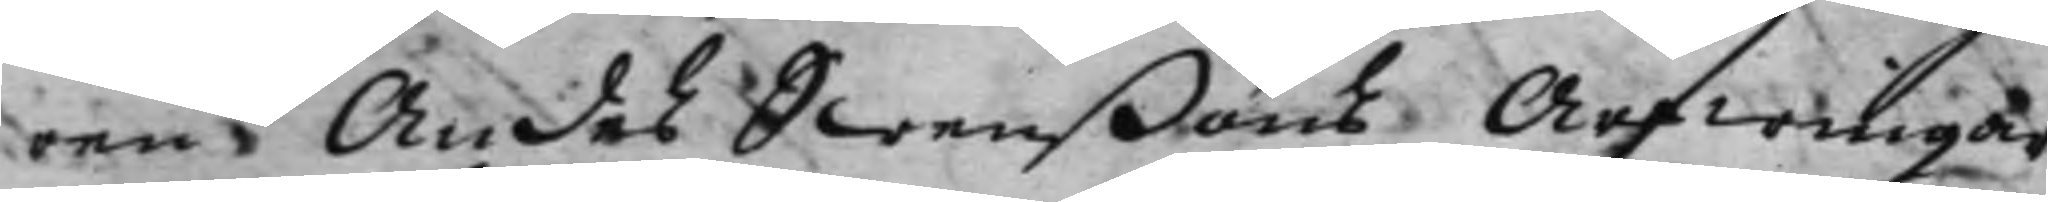ren Andes Swenßons Arfwingar
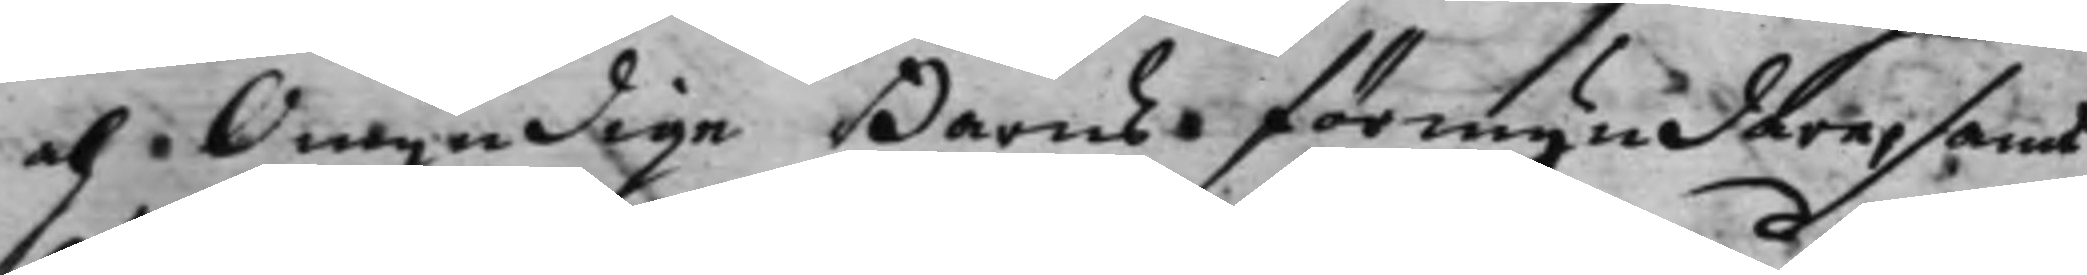och Omyndige Barns förmyndare, samt
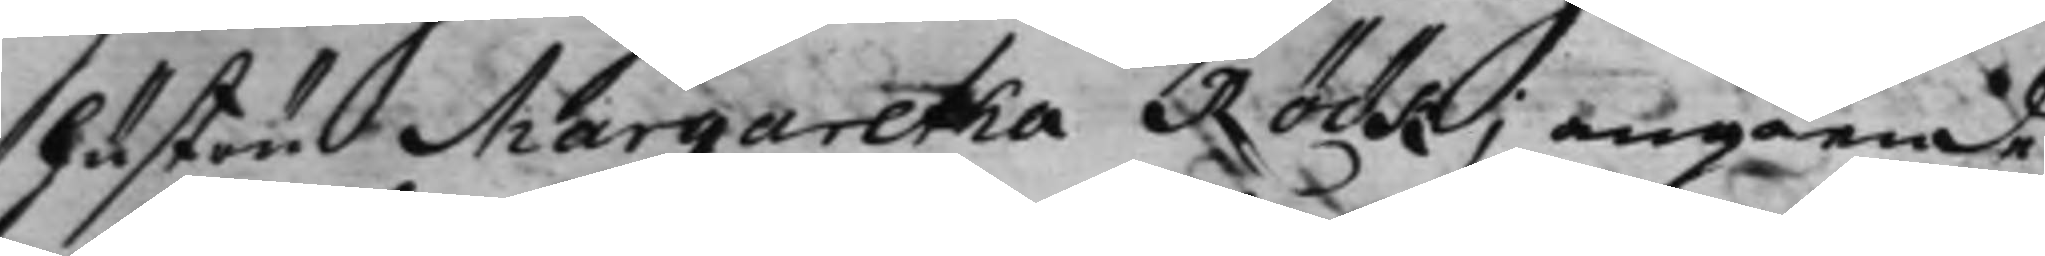hustru Margaretha Röök, angående
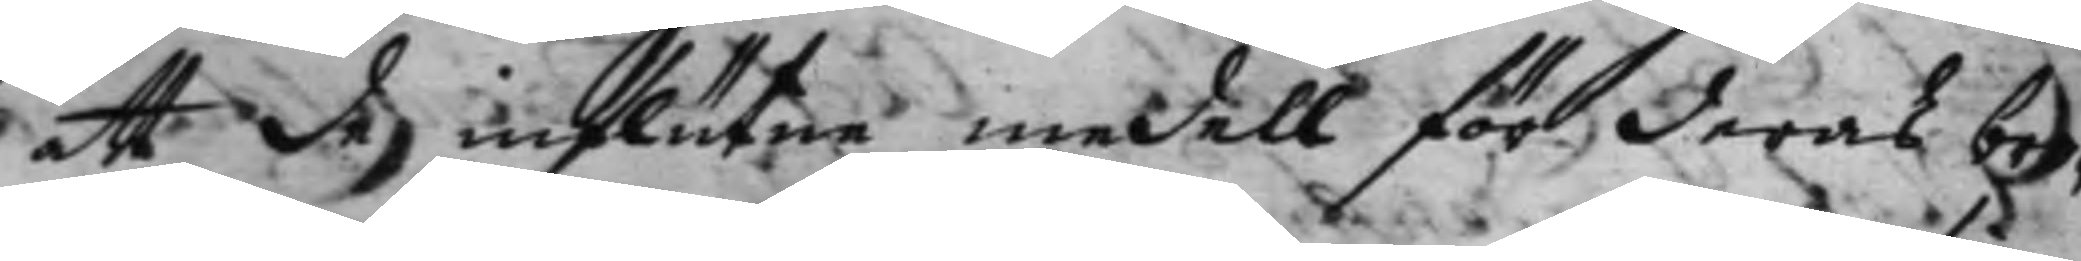att de influtne medell för deras bro¬
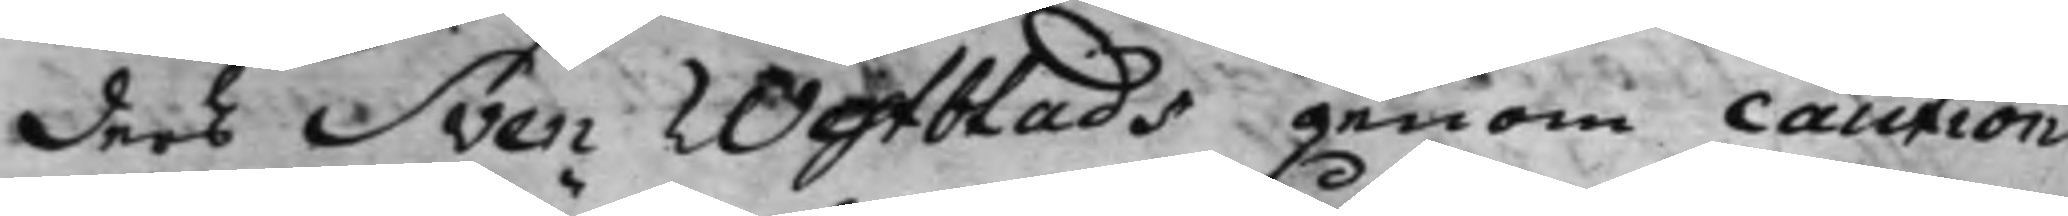ders Sven Westblads genom caution
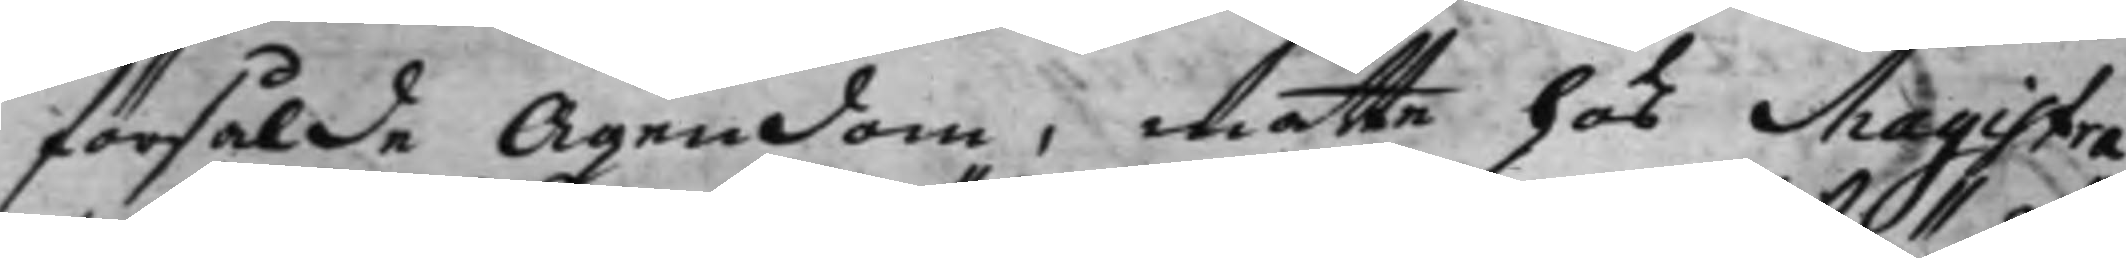försålde Ägendom, måtte hos Magistra¬
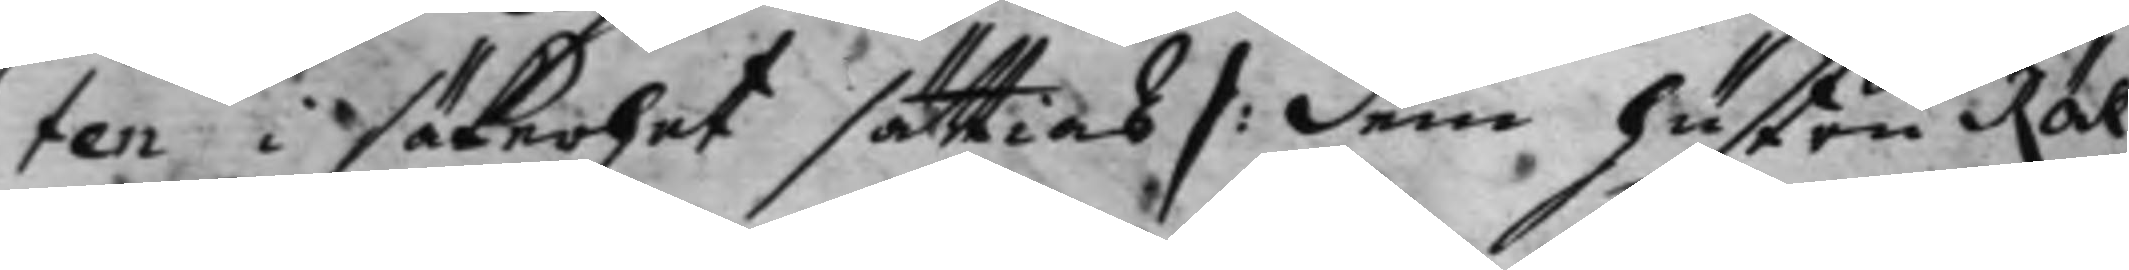ten i säkerhet sättias |: dem hustru Rök
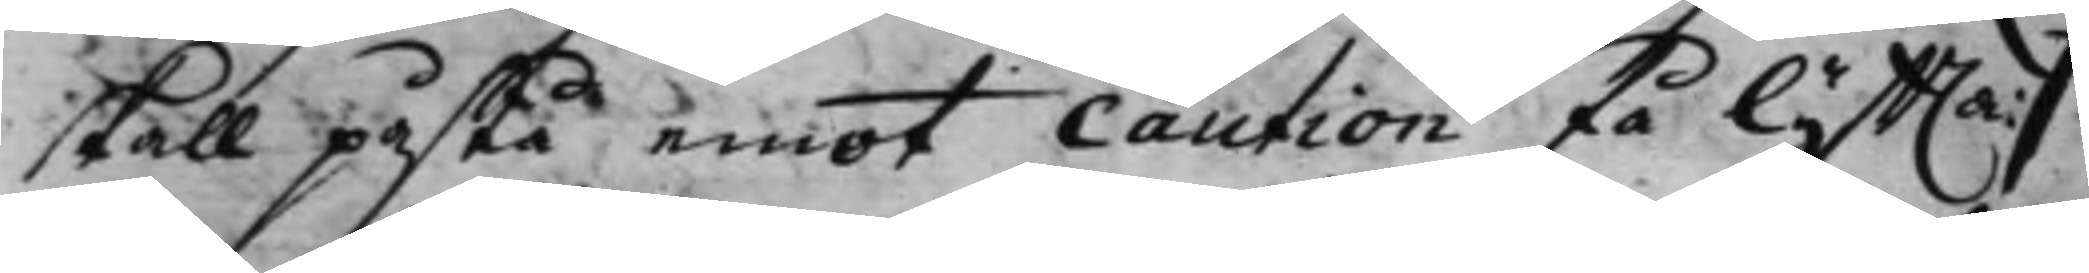skall påstå emot caution få lyffta :|
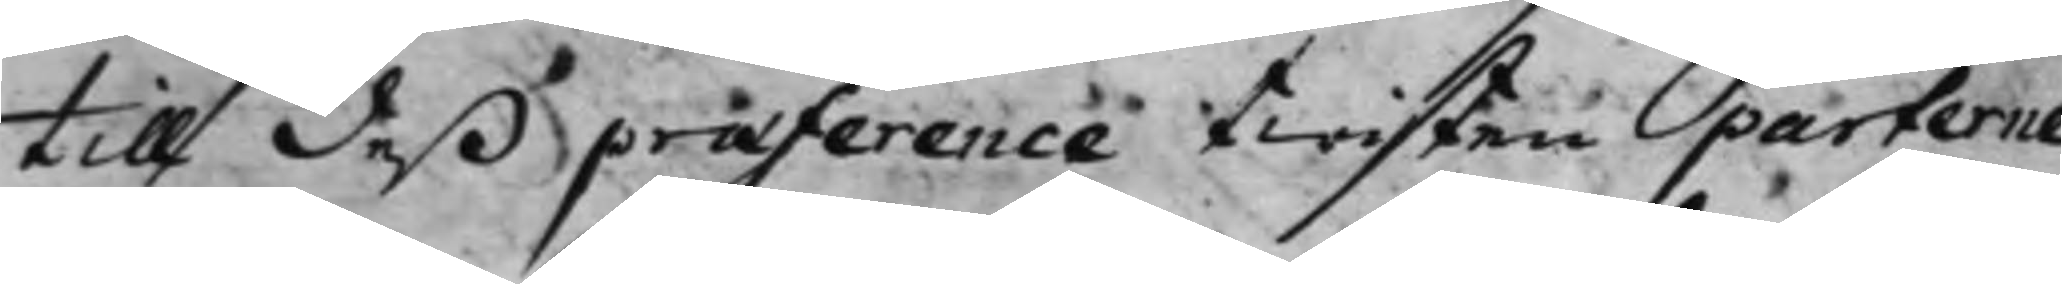till deß præference twisten parterne
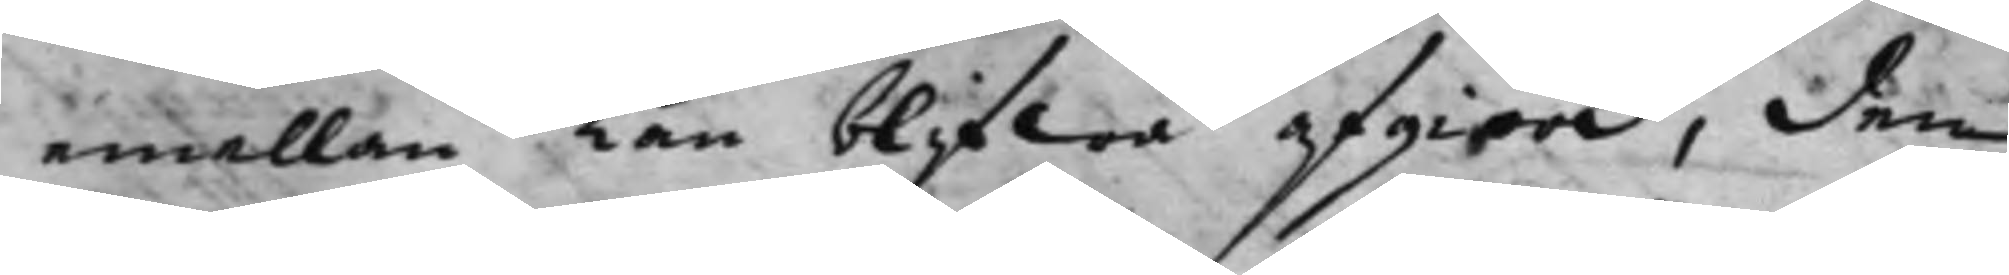emellan kan blifwa afgiord, den
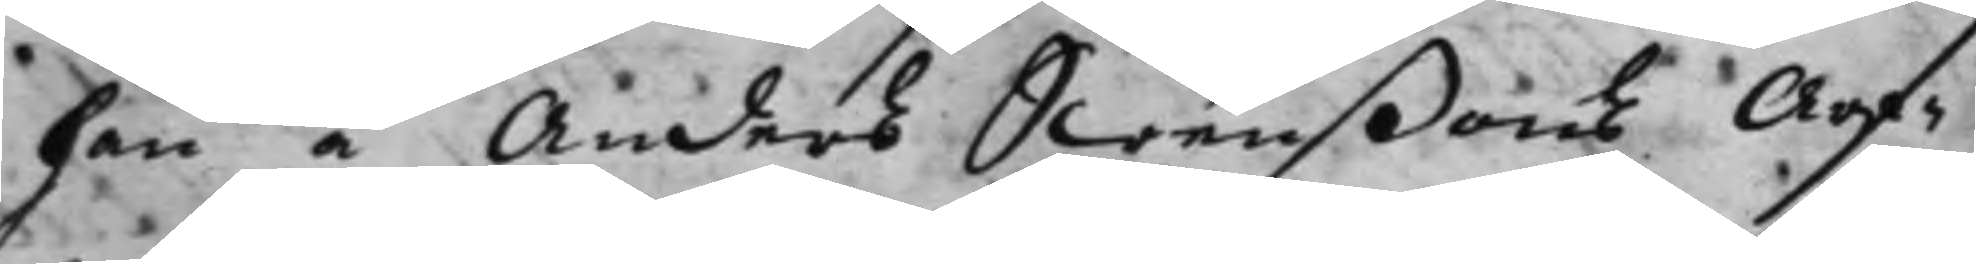han å Anders Swenßons Arf¬
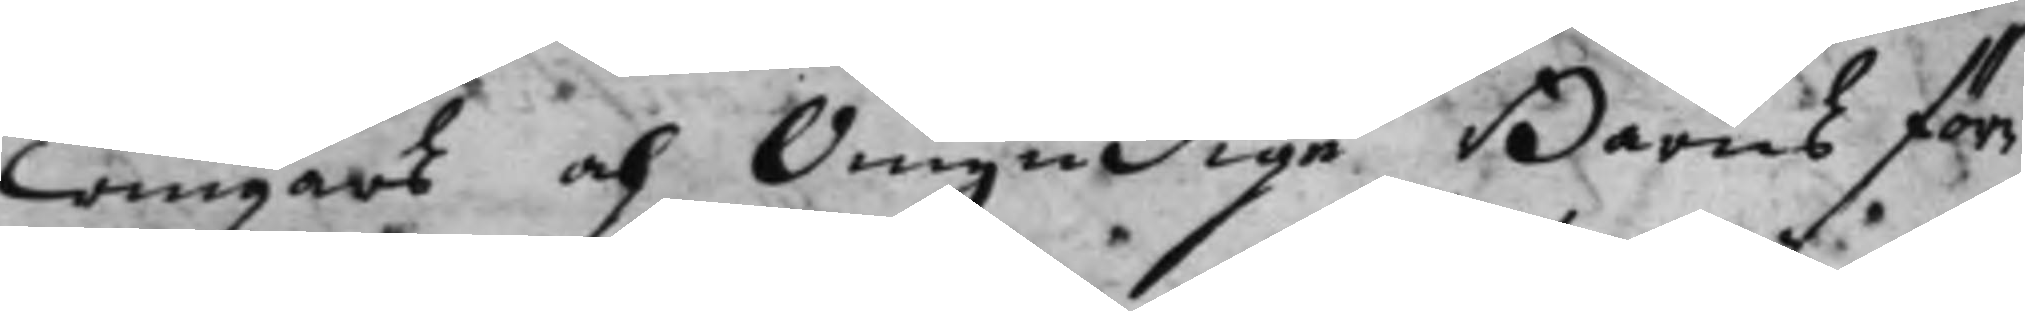wingars och Omyndige Barns för¬
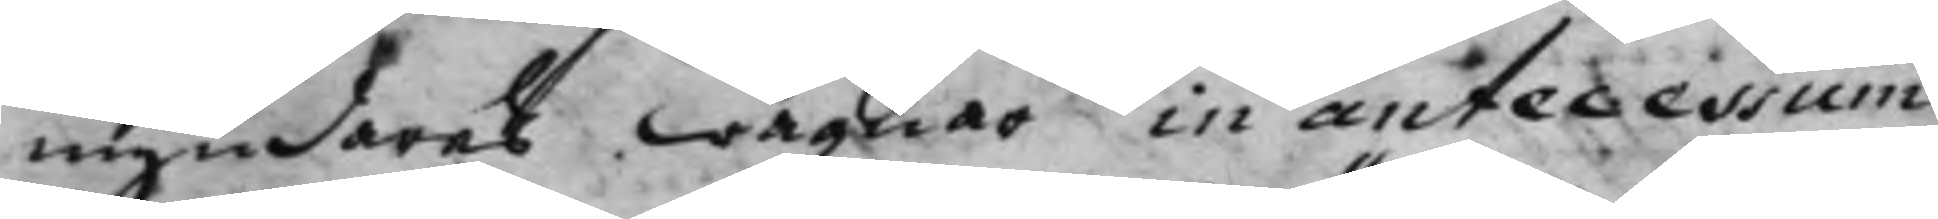myndares wägnar in antecessum
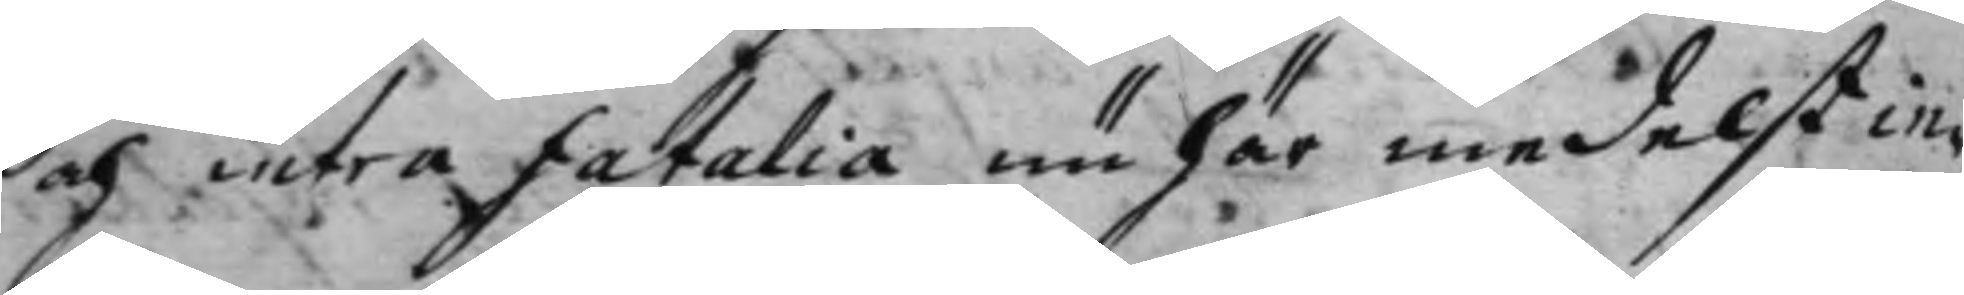och intra fatalia nu här medelst in¬
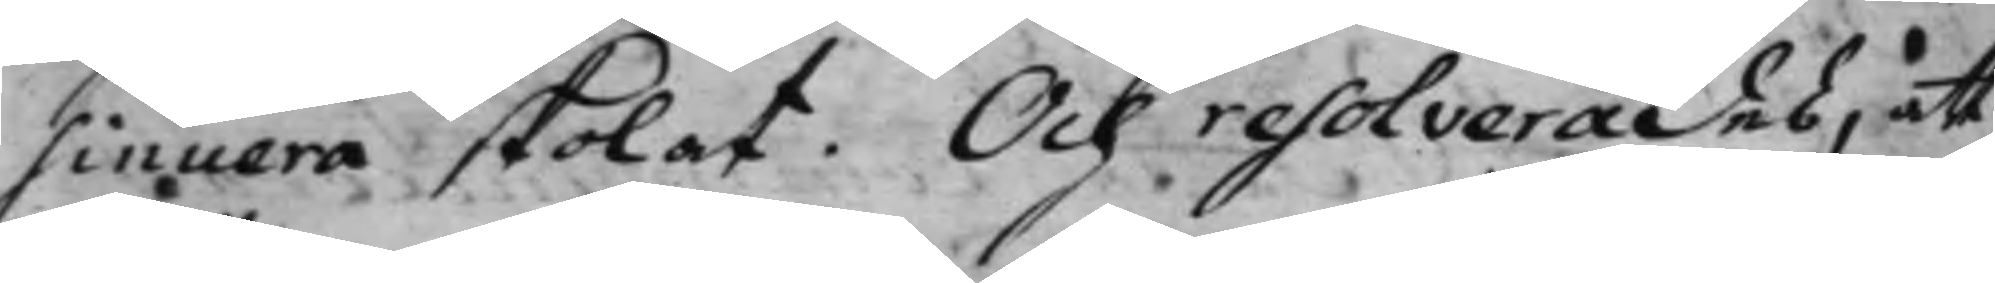sinuera skolat. Och resolverades, att
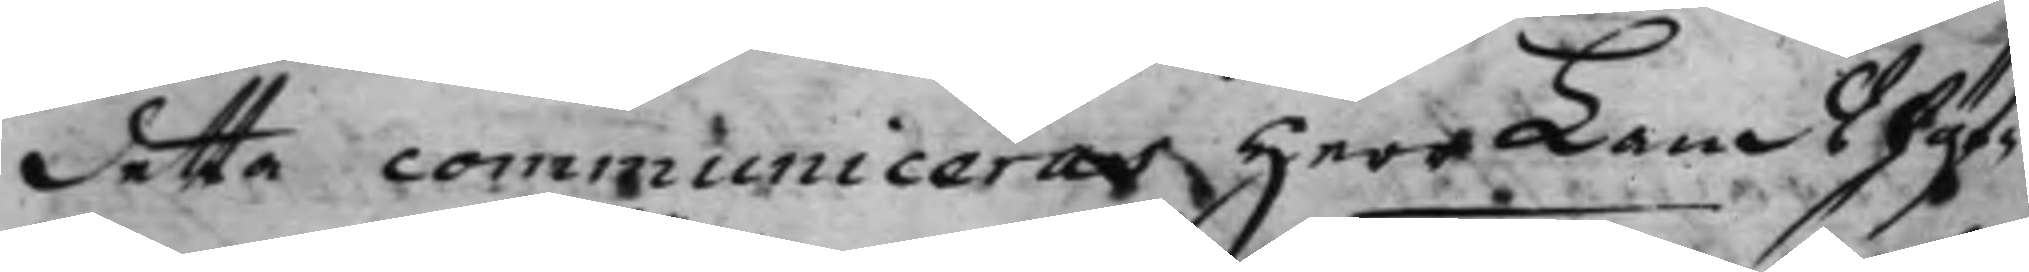detta communiceras Herr Landshöf¬
